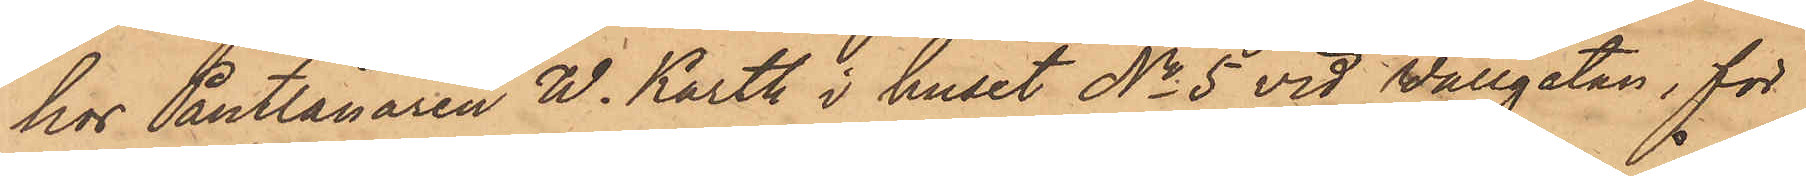hos Pantlånaren W. Karth i huset No 5 vid Wallgatan, för
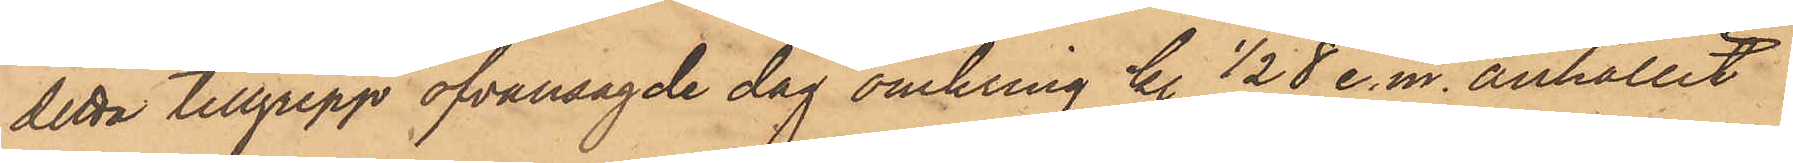detta tillgrepp ofvansagde dag omkring kl ½ 8 e. m. anhållit
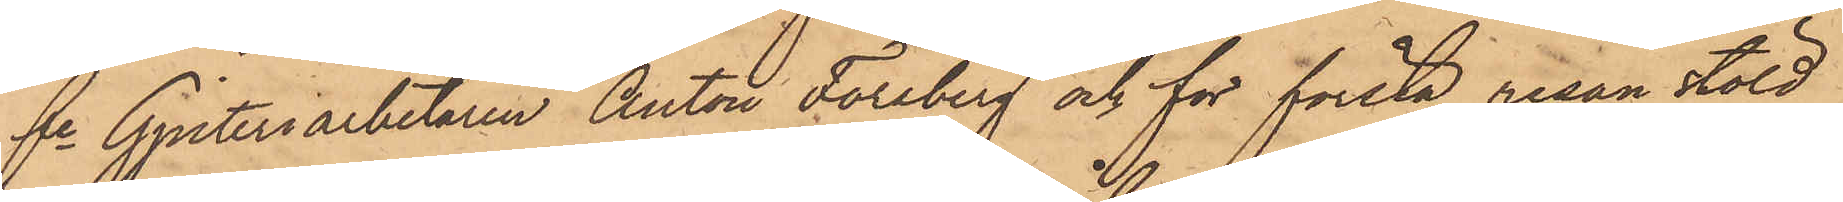fre Gjuteriarbetaren Anton Forsberg och för första resan stöld
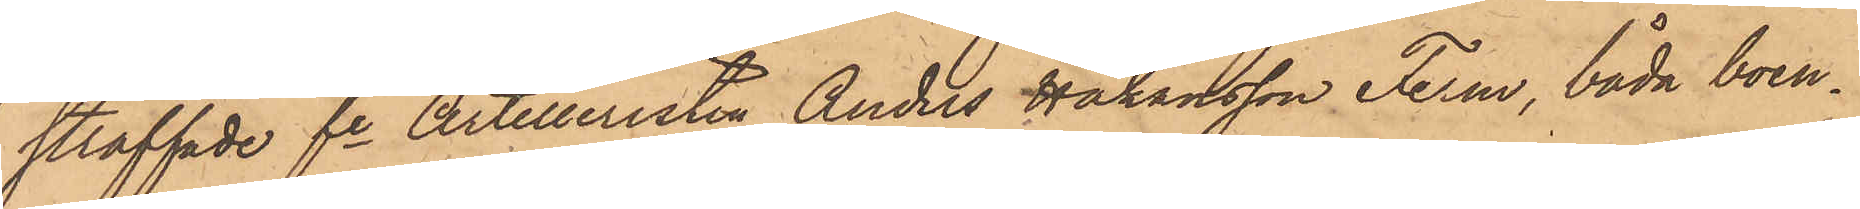straffade fre Artilleristen Anders Håkansson Ferm, båda boen¬
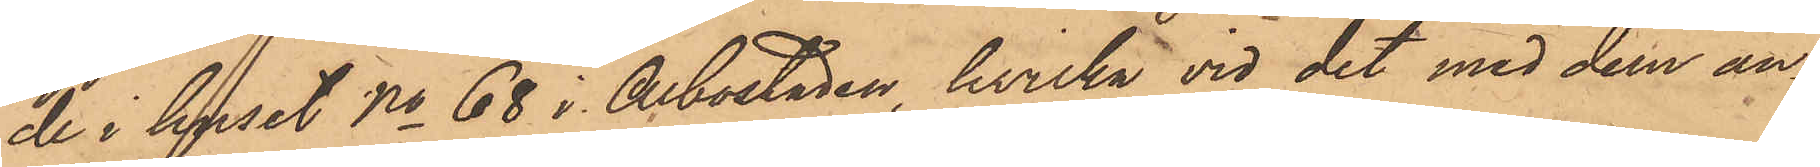de i huset No 68 i Albostaden, hvilka vid det med dem an¬
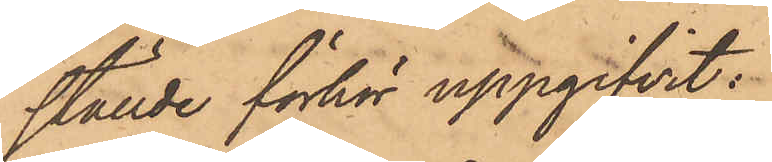ställde förhör uppgifvit:
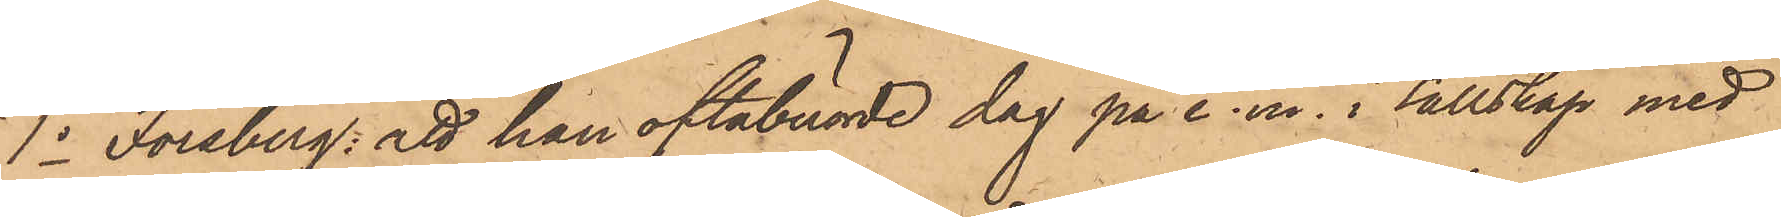1o Forsberg: att han oftaberörde dag på e. m. i sällskap med
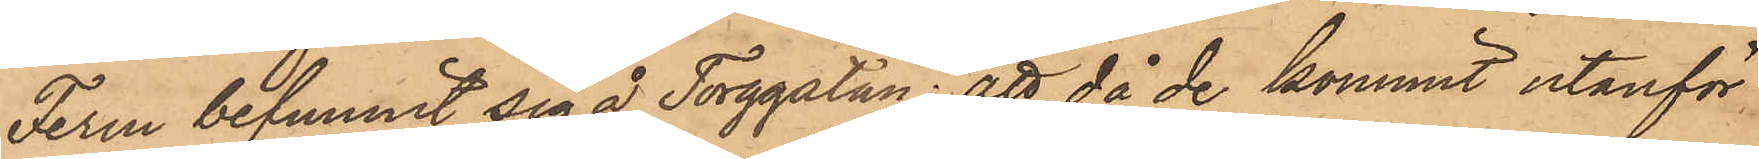Ferm befunnit sig å Torggatan; att då de kommit utanför
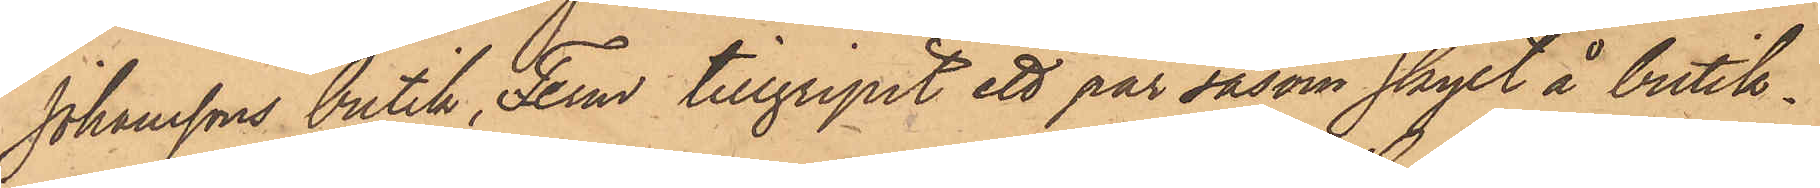Johanssons butik, Ferm tillgripit ett par såsom skylt å butik¬
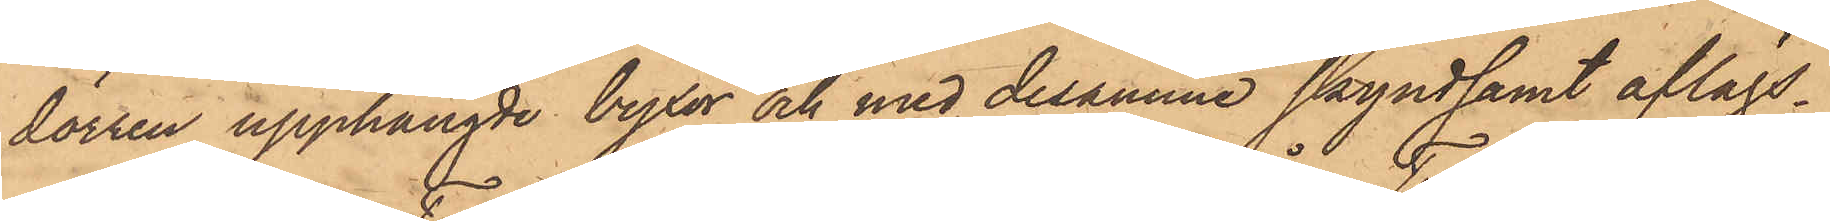dörren upphängde byxor och med desamma skyndsamt aflägs¬
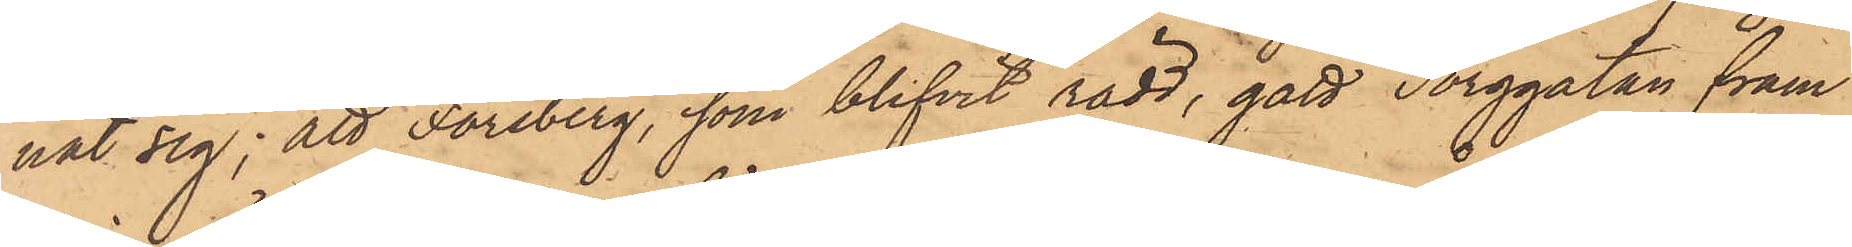nat sig; att Forsberg, som blifvit rädd, gått Torggatan fram
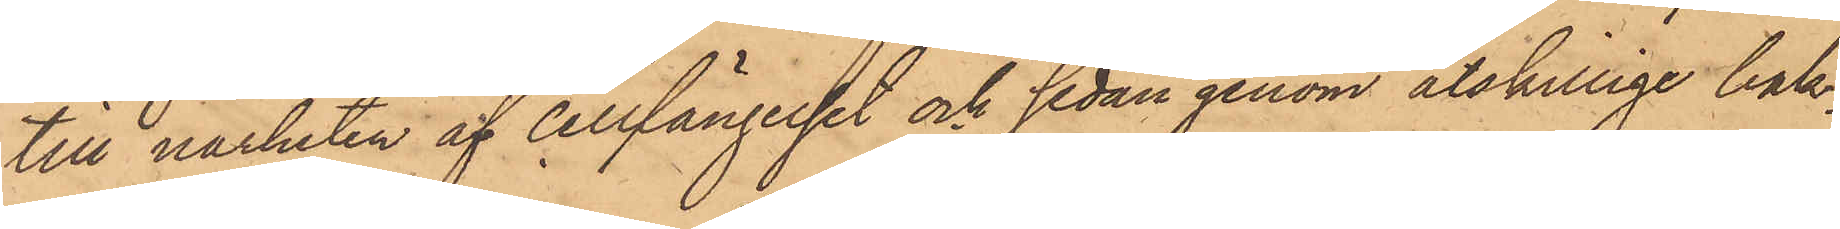till närheten af cellfängelset och sedan genom åtskillige bak¬
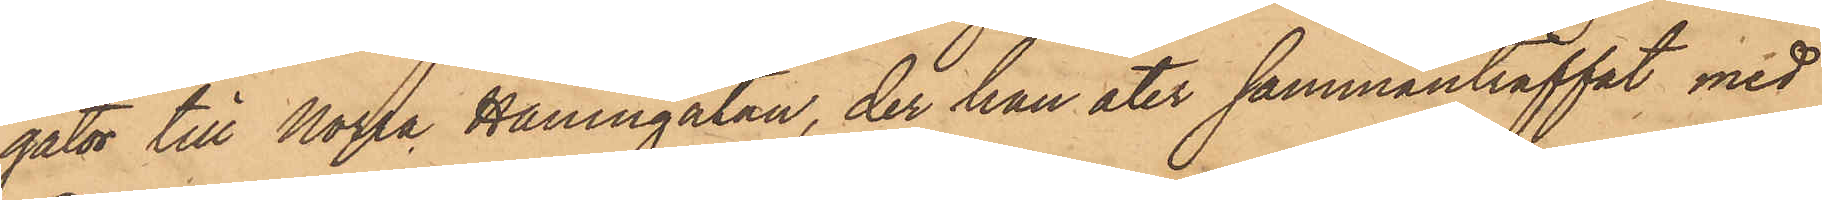gator till Norra Hamngatan, der han åter sammanträffat med
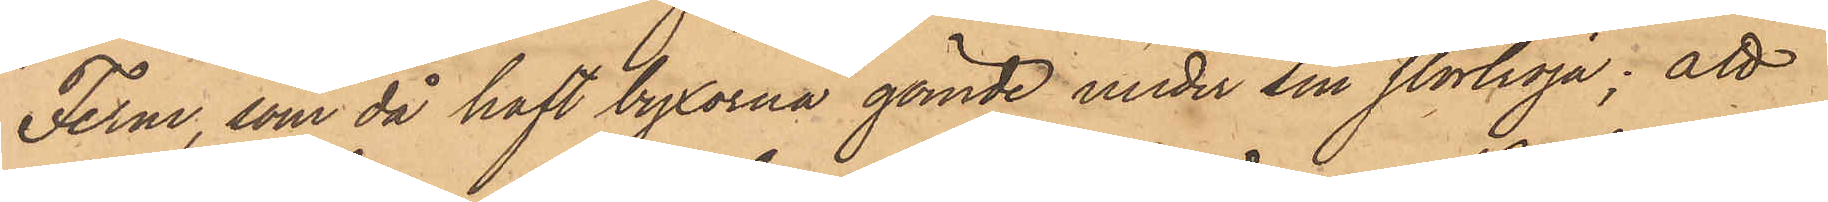Ferm, som då haft byxorna gömde under sin stortröja; att
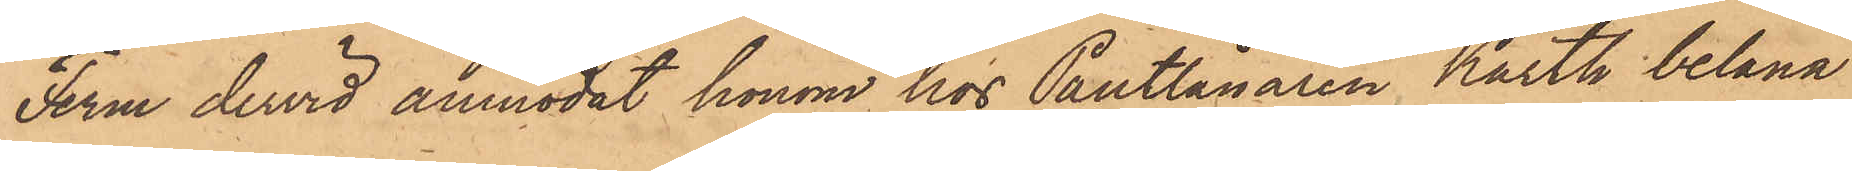Ferm dervid anmodat honom hos Pantlånaren Karth belåna
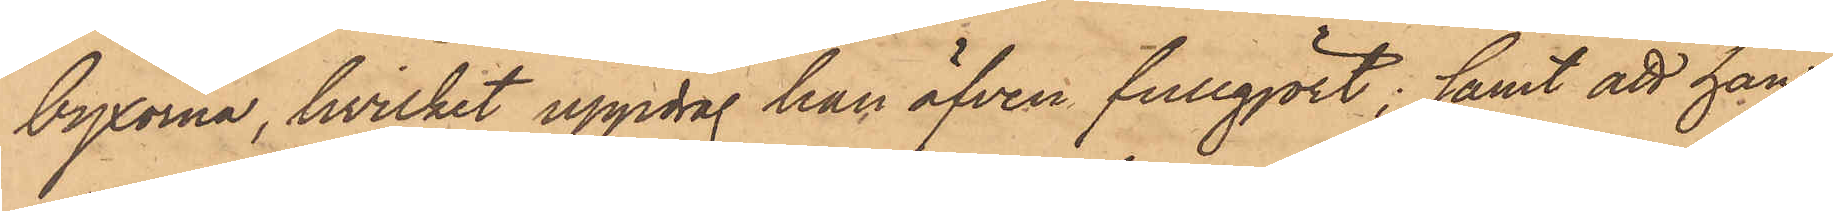byxorna, hvilket uppdrag han äfven fullgjort; samt att han
